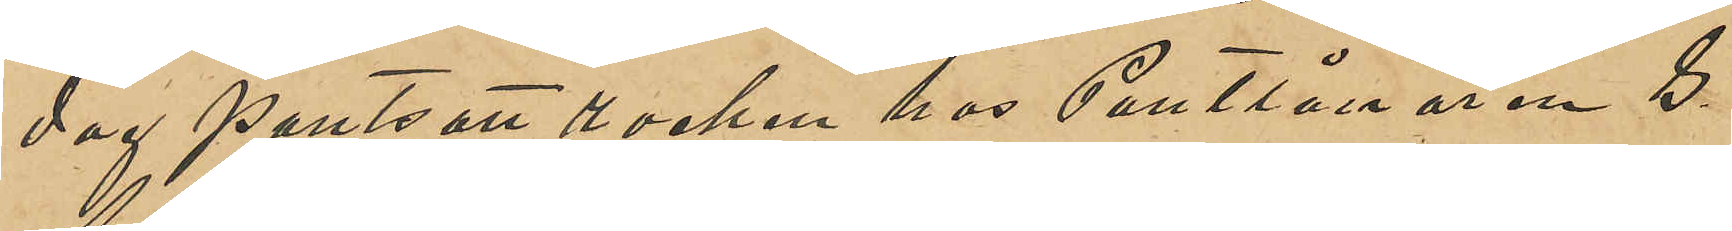dag pantsatt rocken hos Pantlånaren G
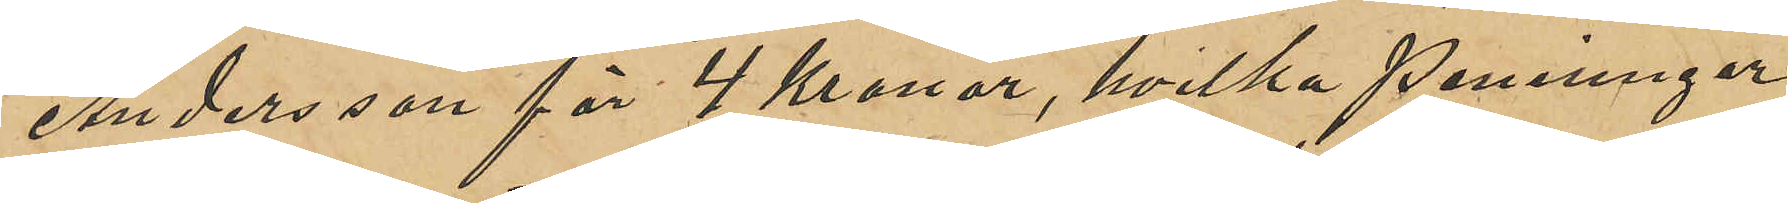Andersson för 4 Kronor, hvilka penningar
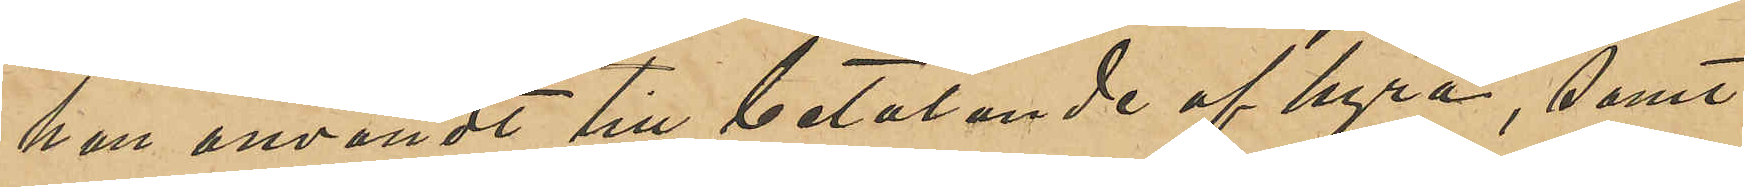han användt till betalande af hyra, samt
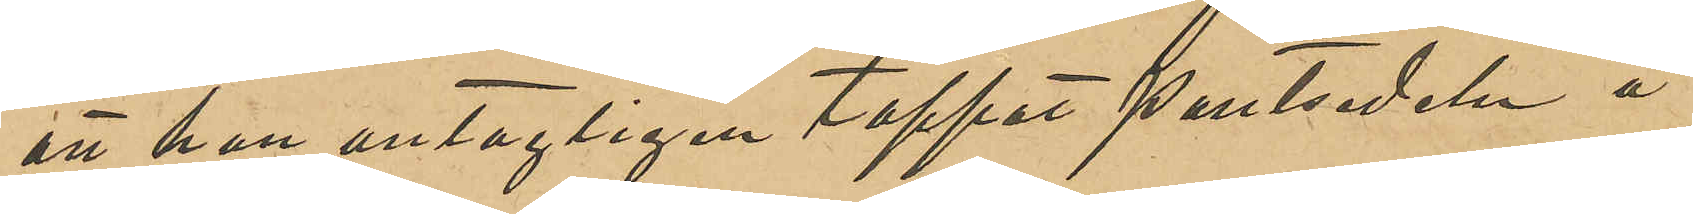att han antagligen tappat pantsedeln å
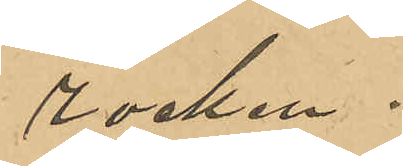rocken.
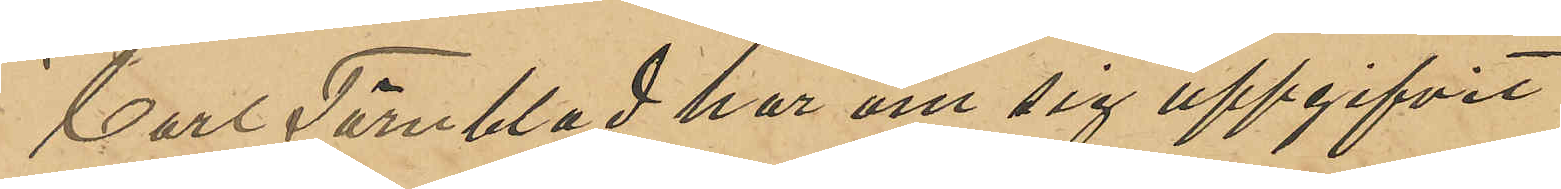Carl Törnblad har om sig uppgifvit
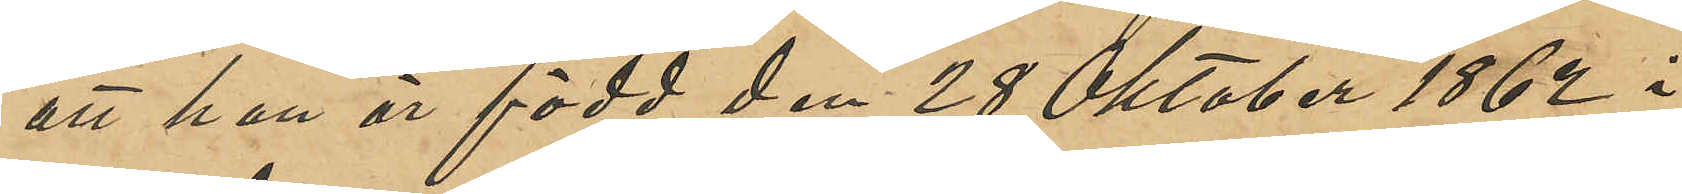att han är född den 28 Oktober 1862 i
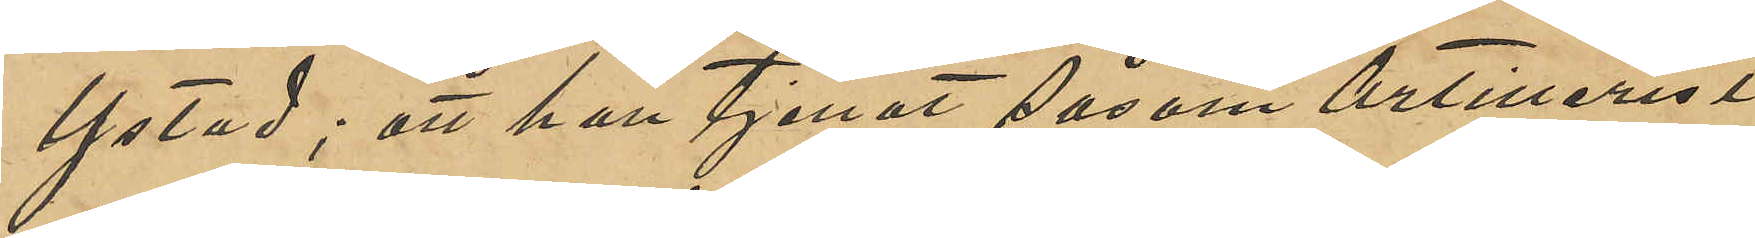Ystad; att han tjenat såsom Artillerist
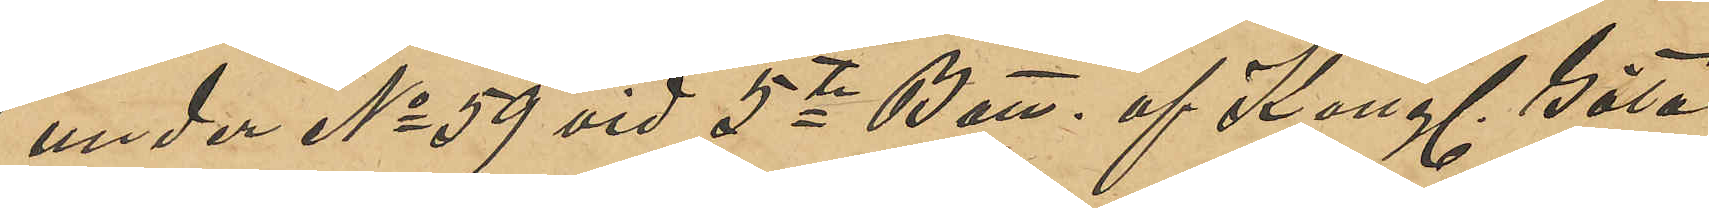under No 59 vid 5te Batt. af Kungl. Göta
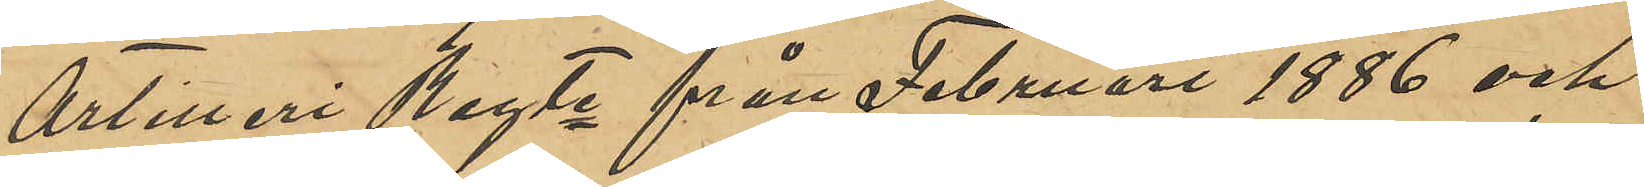Artilleri Regte från Februari 1886 och
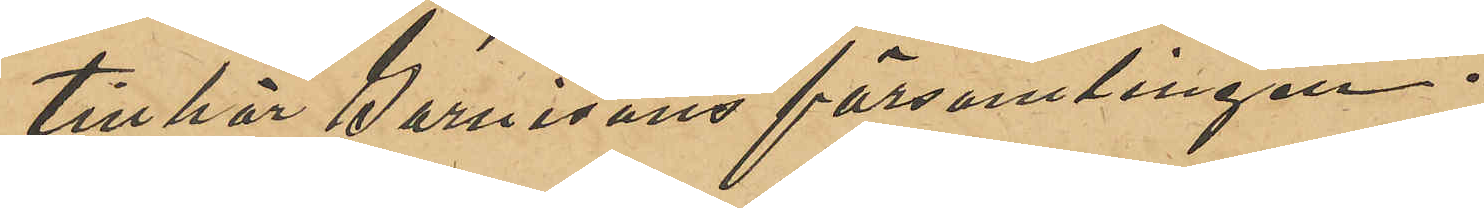tillhör Garnisons församlingen.
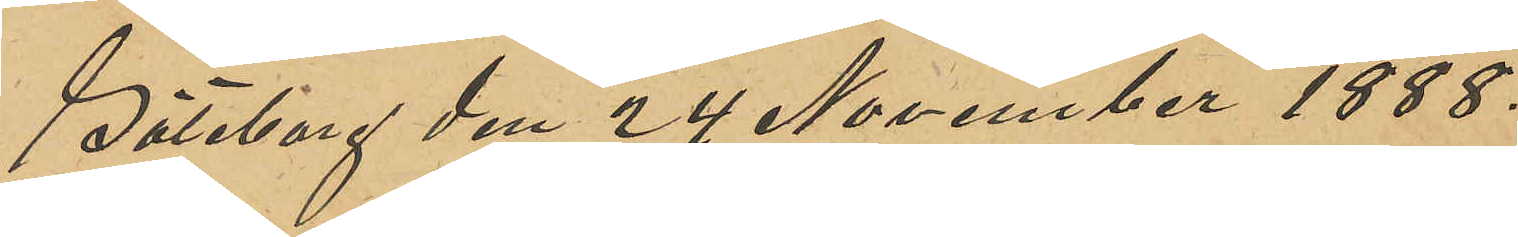Göteborg den 24 November 1888.
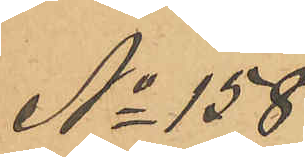No 158
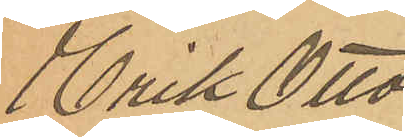Erik Otto
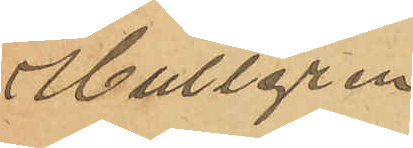Hultgren
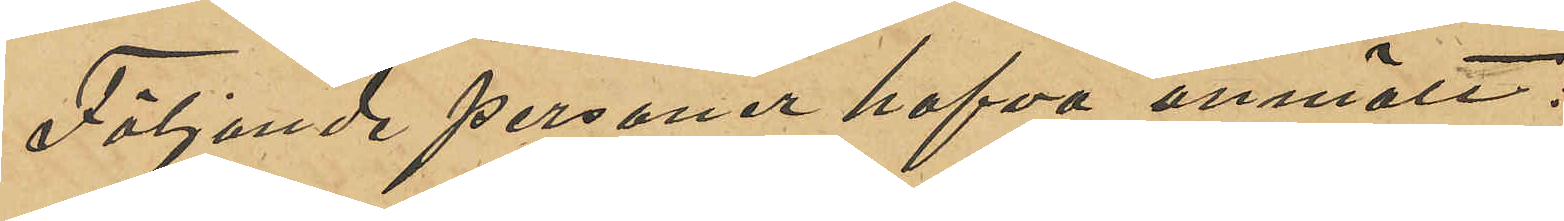Följande personer hafva anmält:
